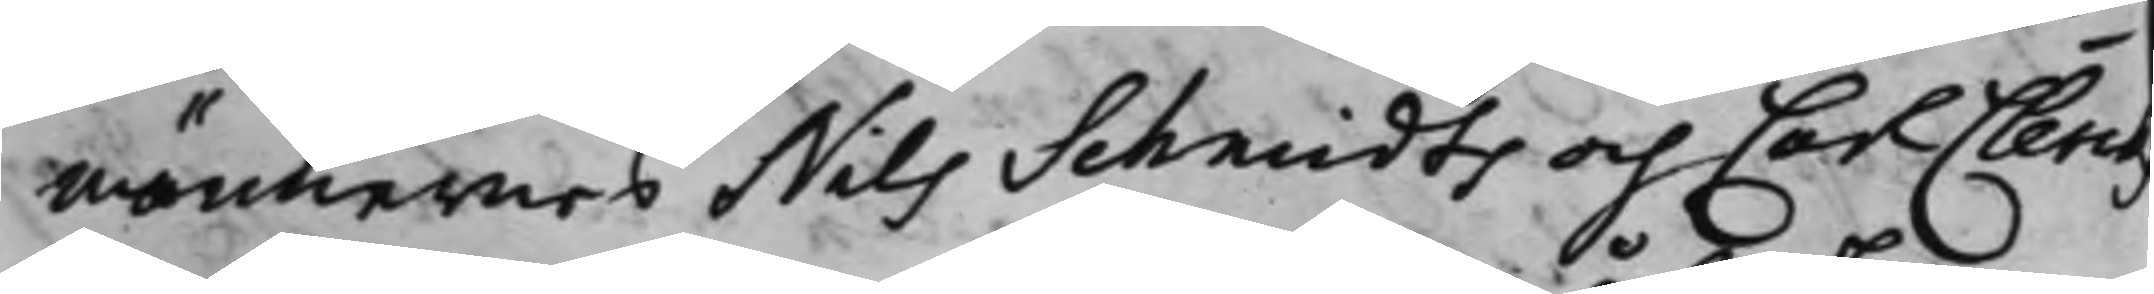männernes Nils Schmidts och Carl Clerckz
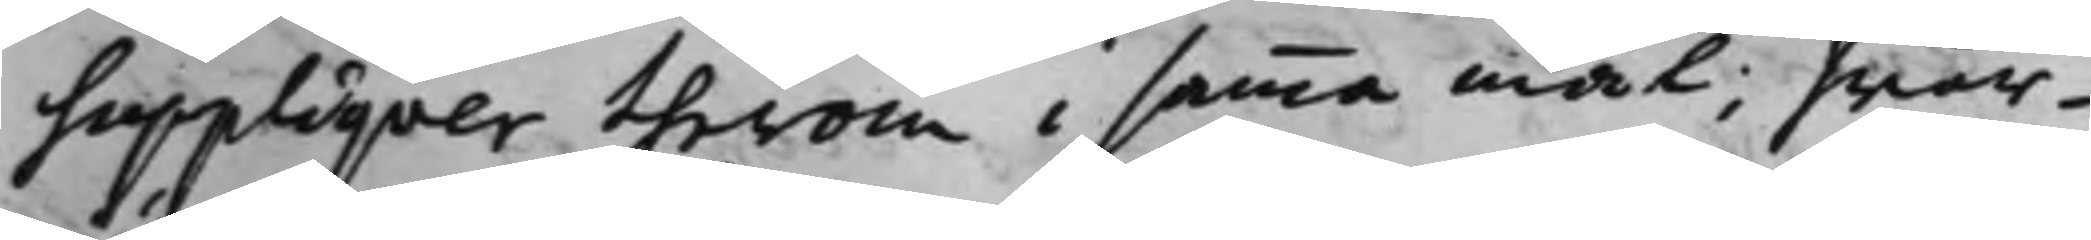Suppliqver therom i samma mål; hwar¬
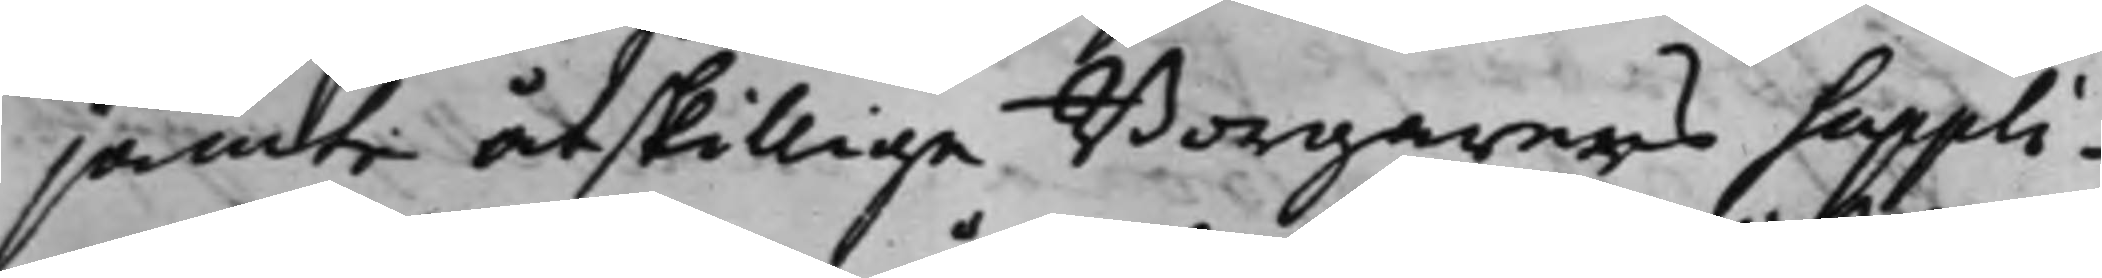jämte åtskillige Borgarers Suppli¬
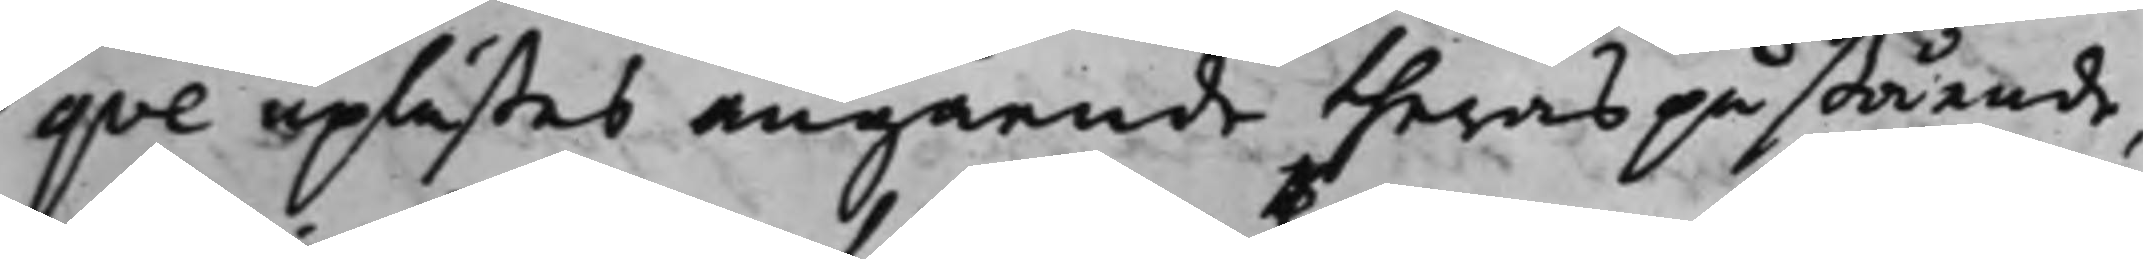qve uplästes angående theras påstående,
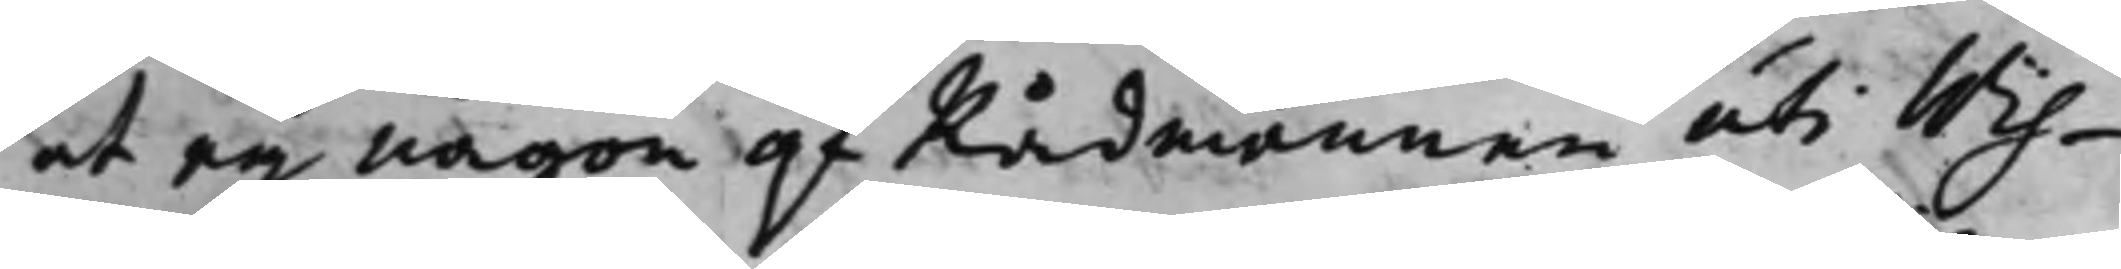at eij någon af Rådmännen uti Wis¬
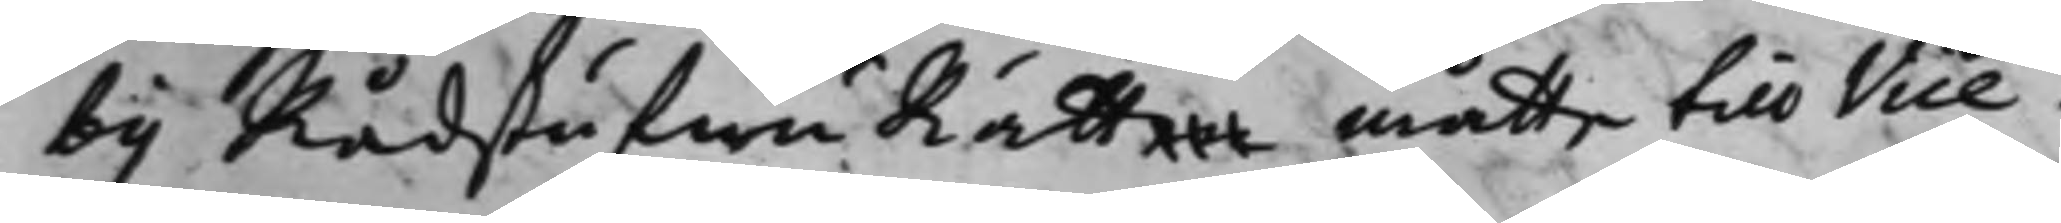by RådstufwuRätten måtte till Vice
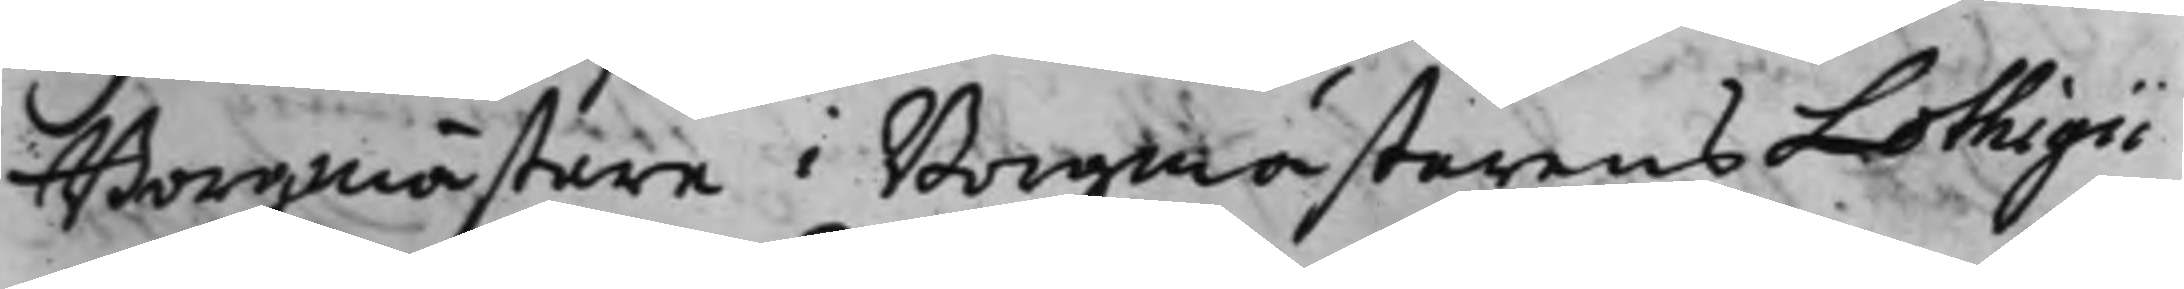Borgmästare i Borgmästarens Lothigii
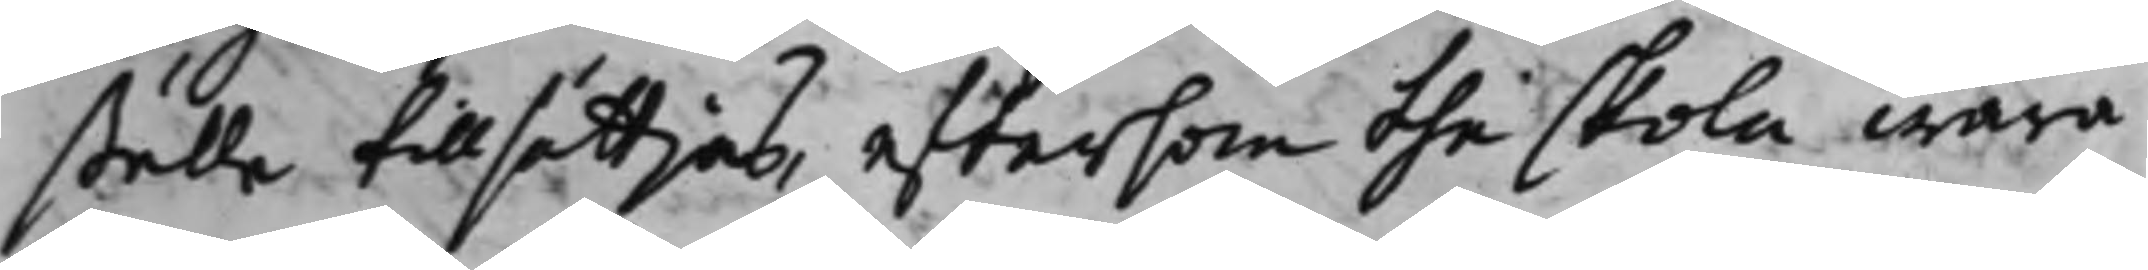ställe tillsättjas, eftersom the skola wara
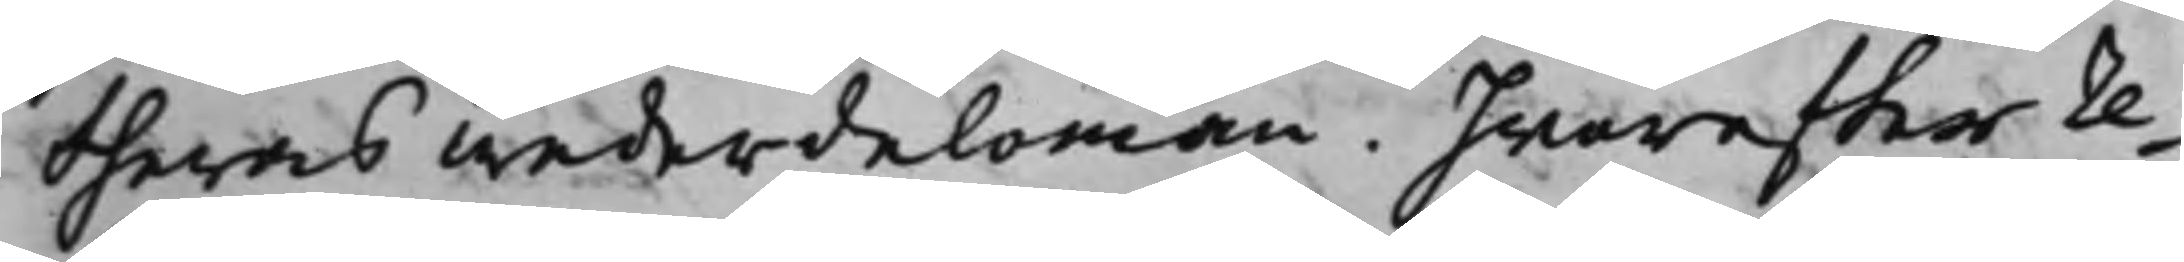theras wederdelomän. Hwareffter re¬
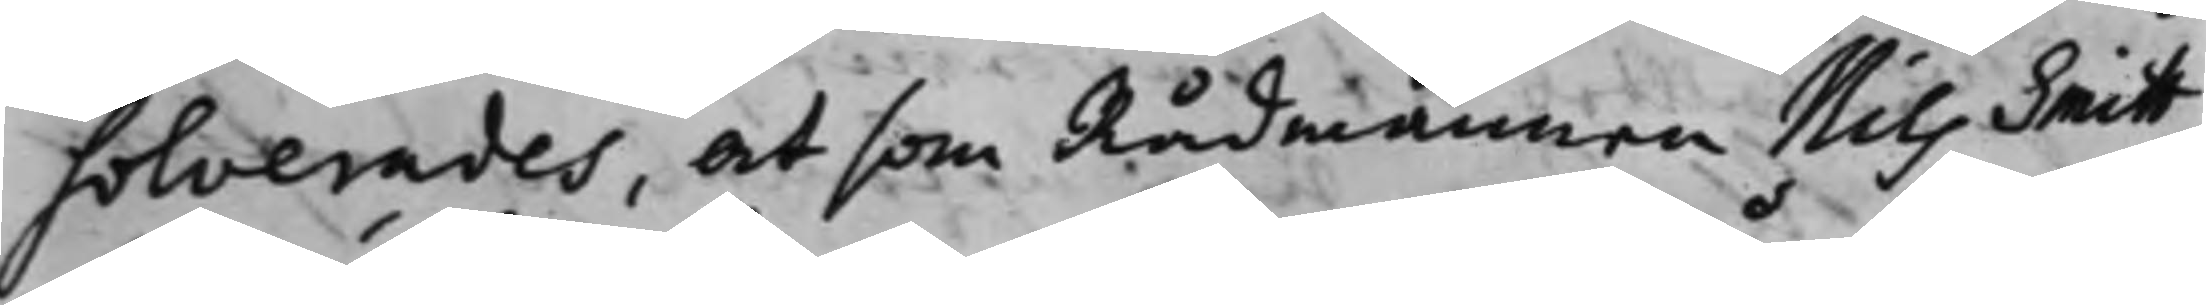solverades, at som Rådmannen Nils Smitt
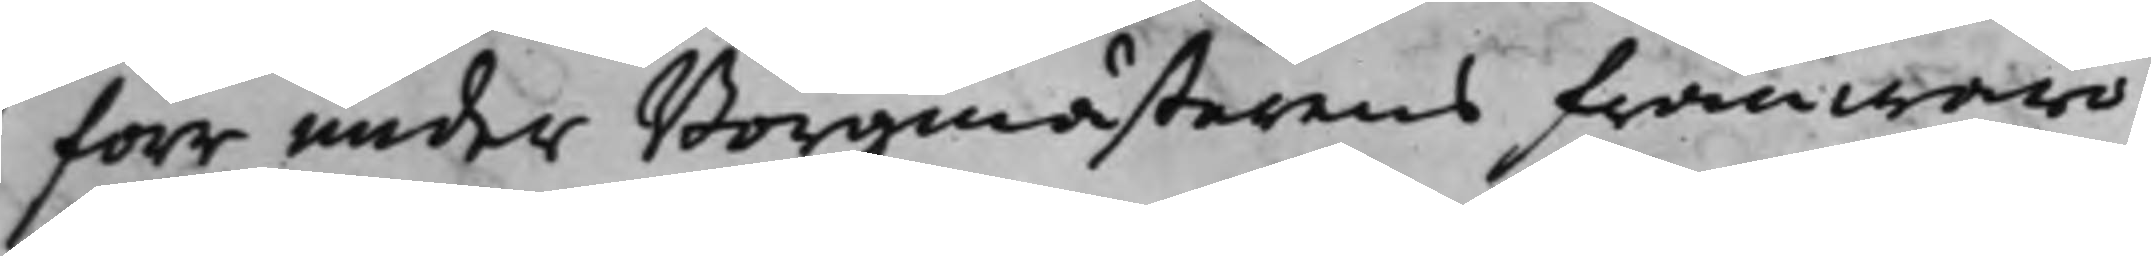förr under Borgmästarens frånwaro
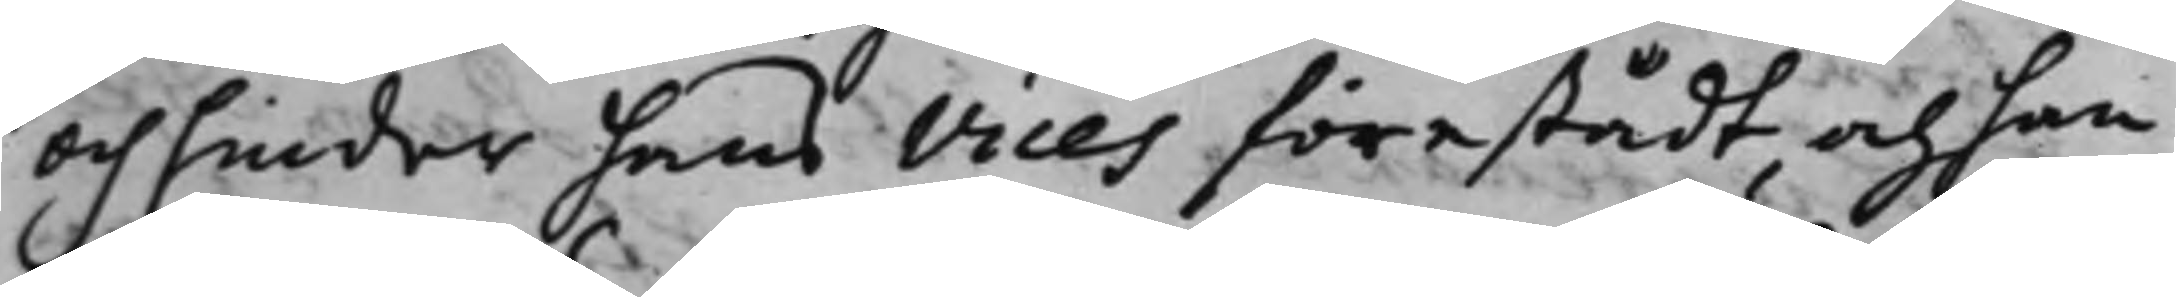och hinder hans Vices förestådt, och han
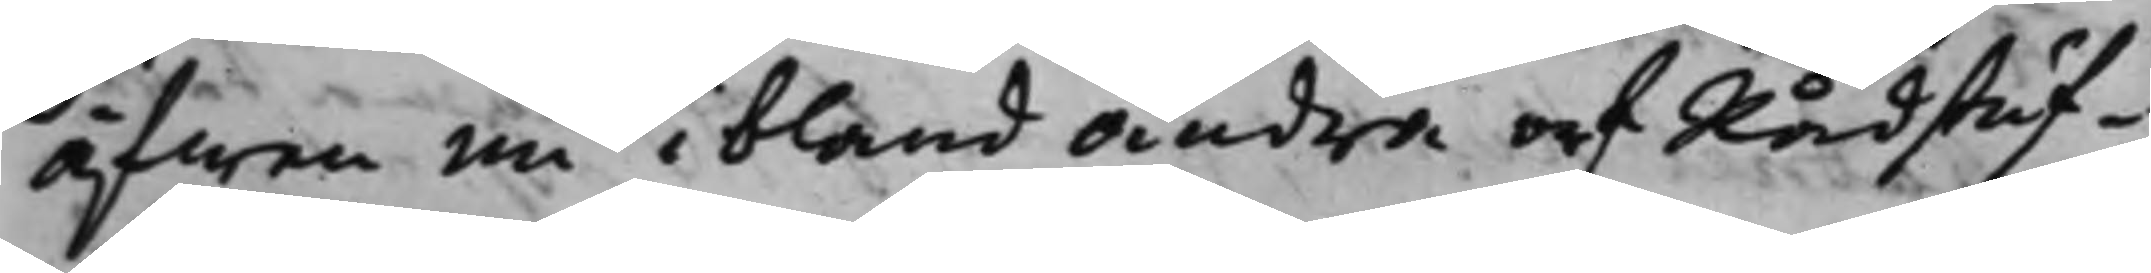äfwen nu ibland andra af Rådstuf¬
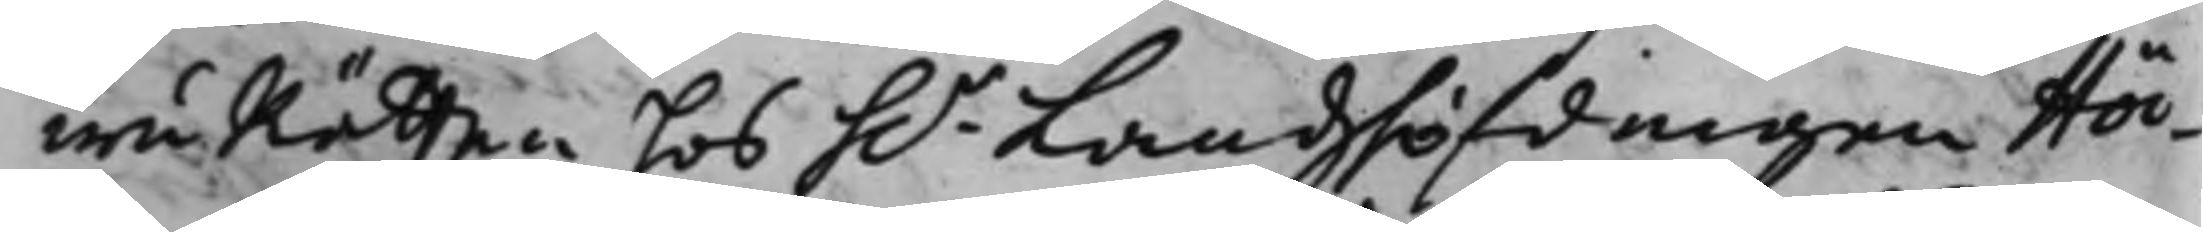wuRätten hos h.r Landzhöfdingen Höc¬
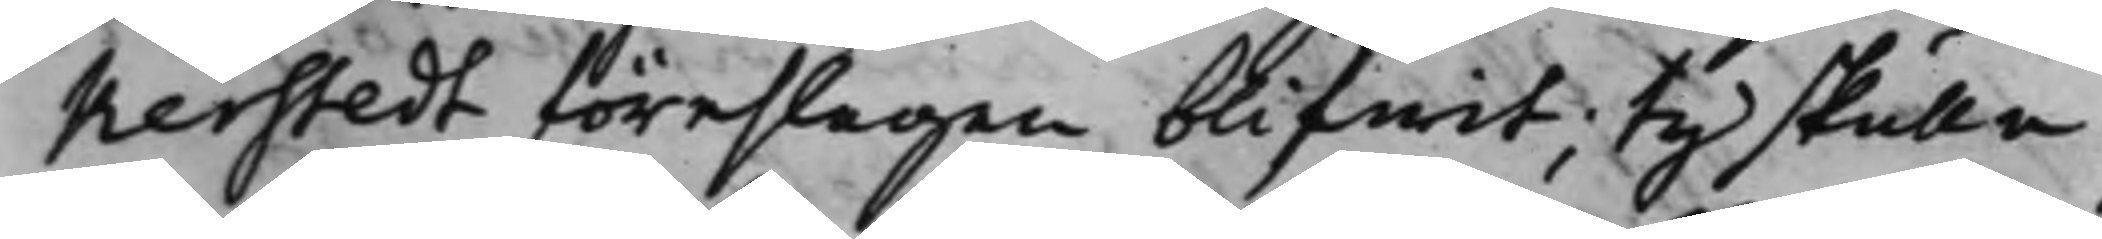kerstedt föreslagen blifwit; Ty skulle
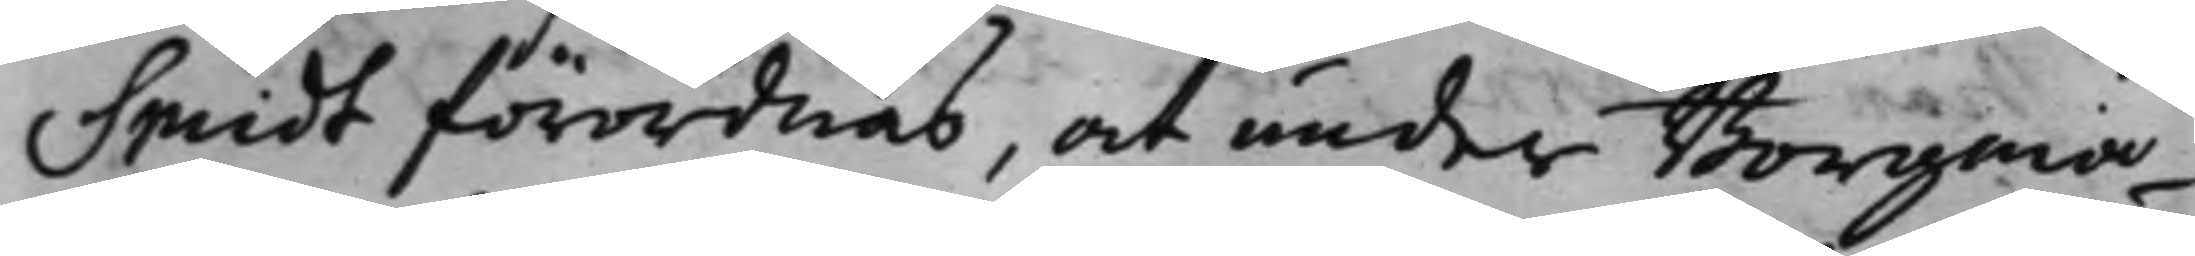Smidt förordnas, at under Borgmä¬
